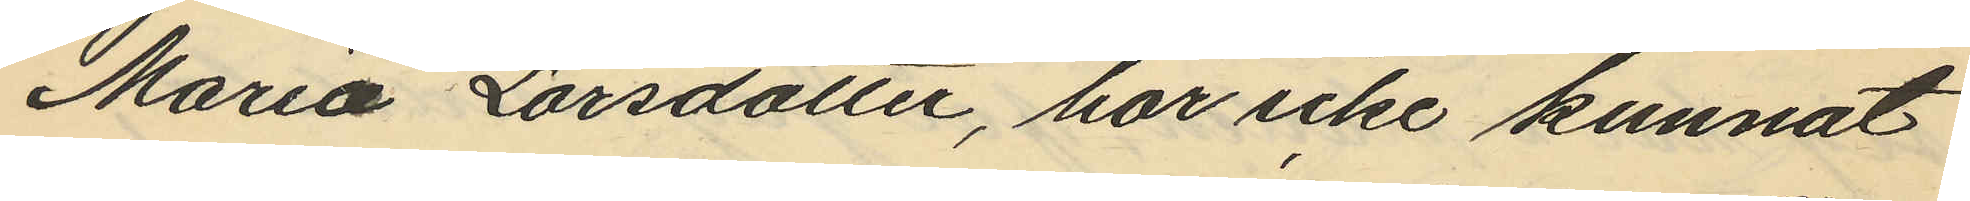Maria Larsdotter, har icke kunnat
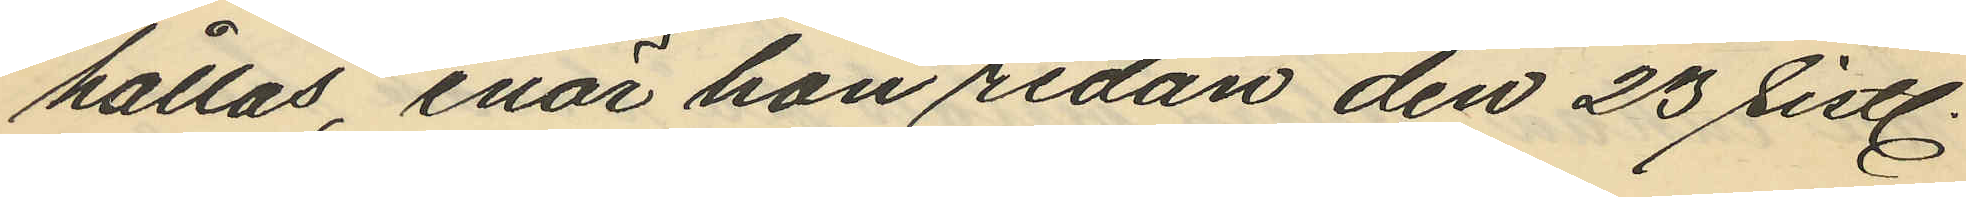hållas, enär hon redan den 23 sistl.
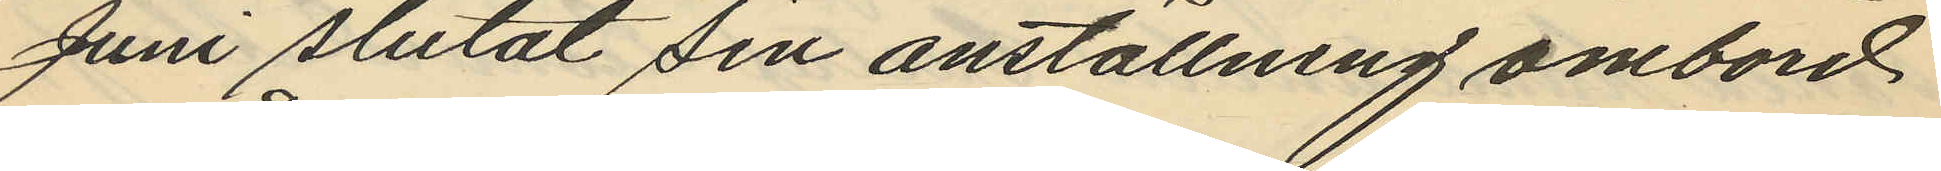Juni slutat sin anställning ombord
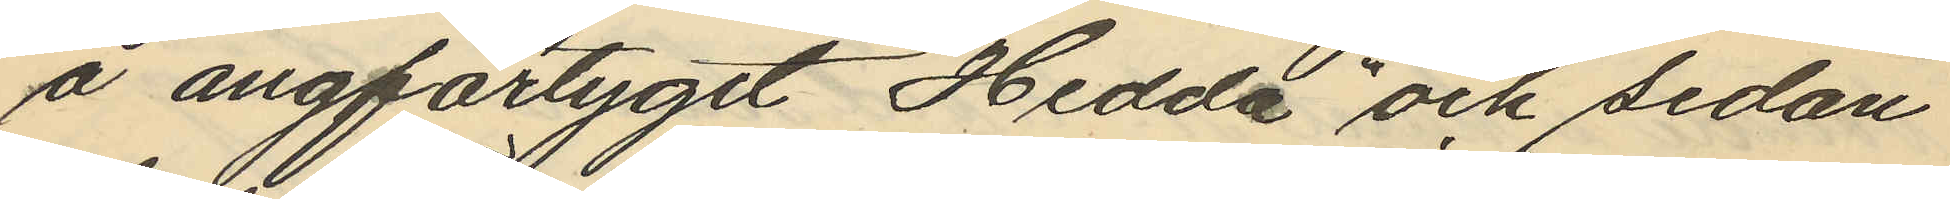å ångfartyget "Hedda" och sedan
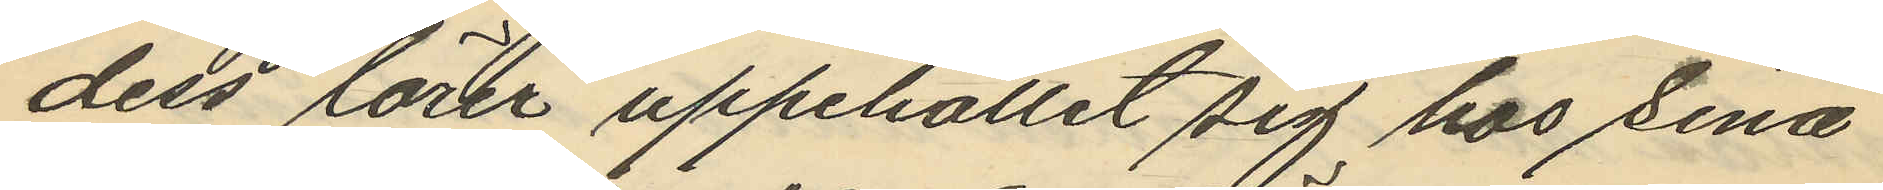dess lärer uppehållit sig hos sina
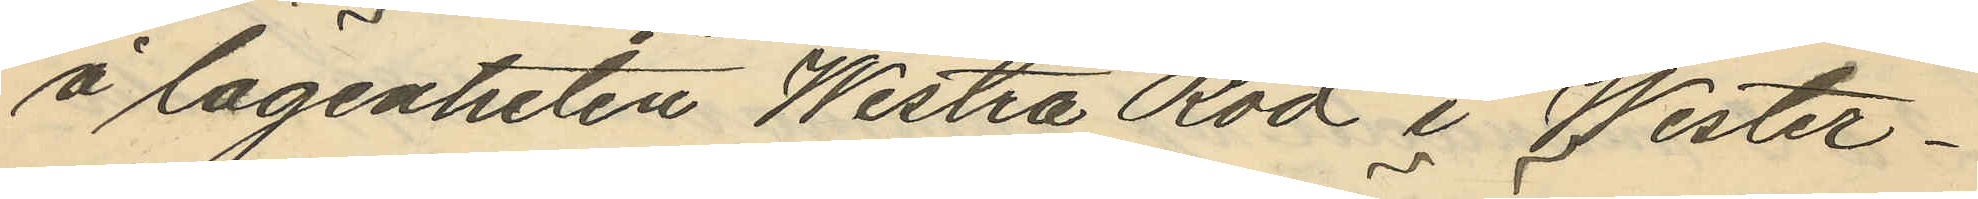å lägenheten Westra Röd i Wester¬
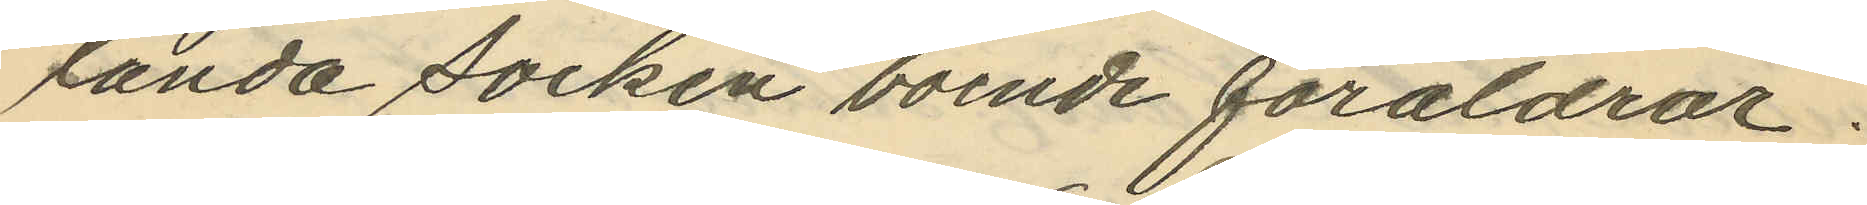landa socken boende föräldrar.
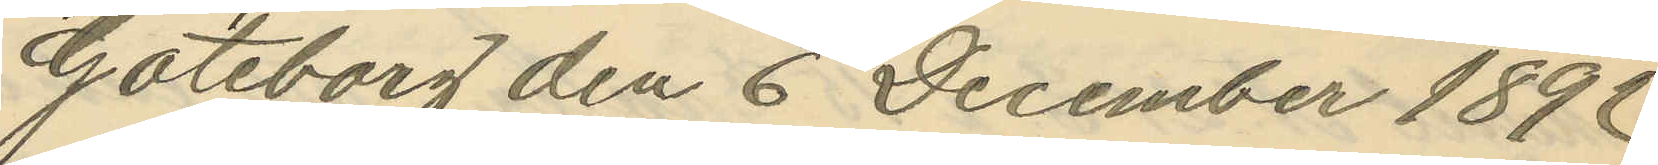Göteborg den 6 December 1892.
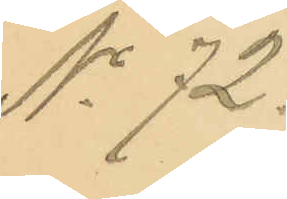No 72.
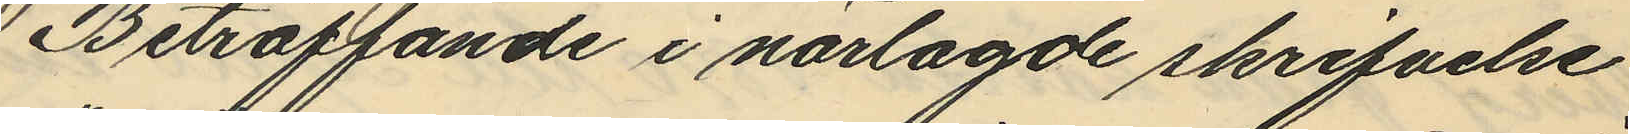Beträffande i närlagde skrifvelse
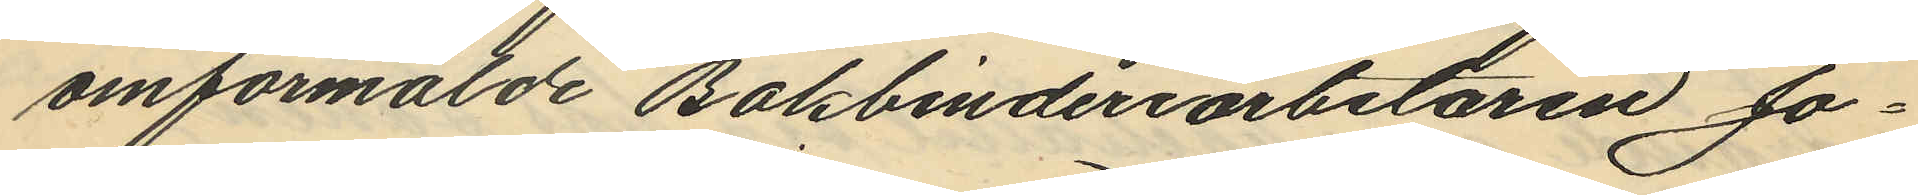omförmälde Bokbinderiarbetaren Jo¬
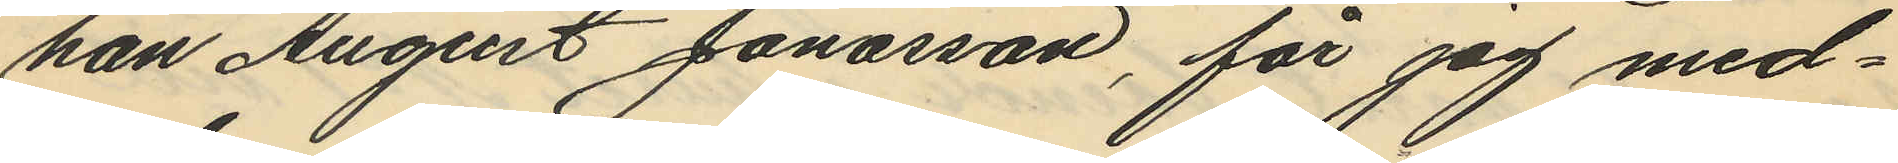han August Jonasson, får jag med¬
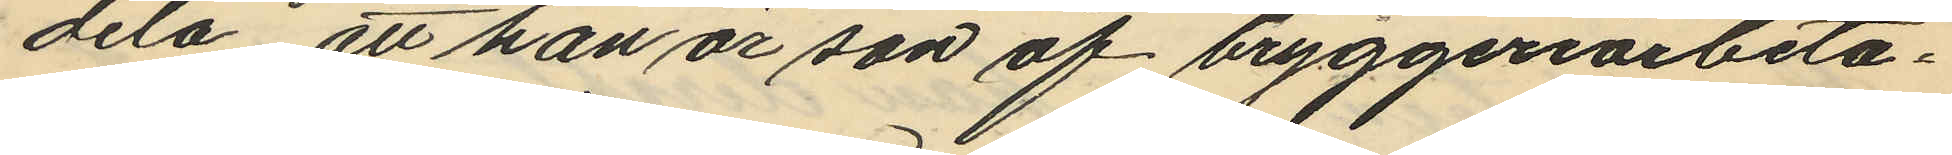dela att han är son af bryggeriarbeta¬
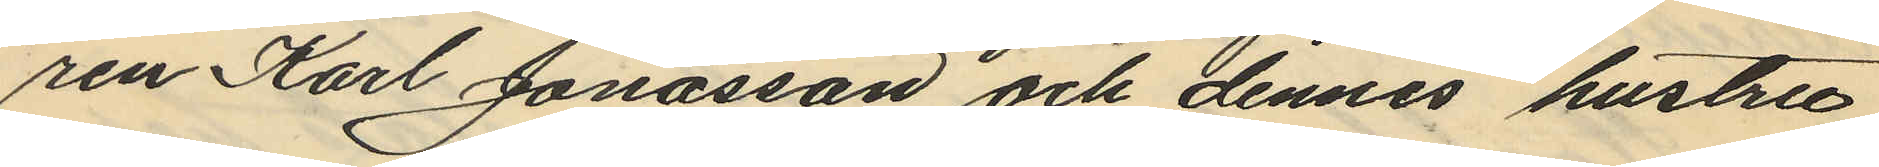ren Karl Jonasson och dennes hustru
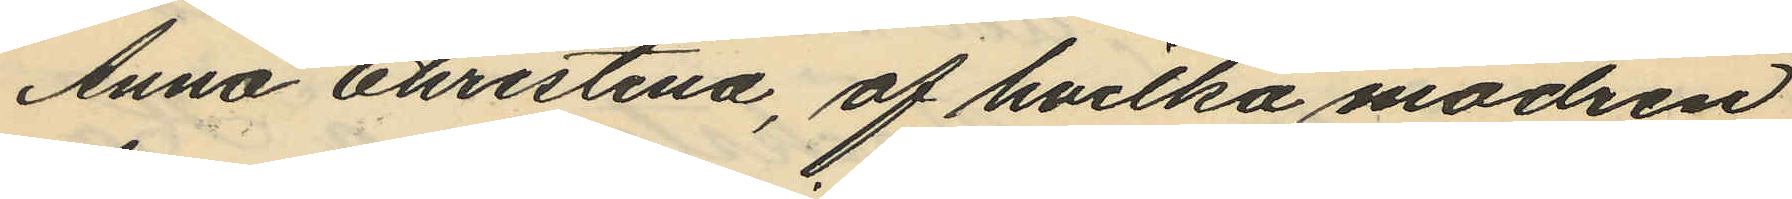Anna Christina, af hvilka modren
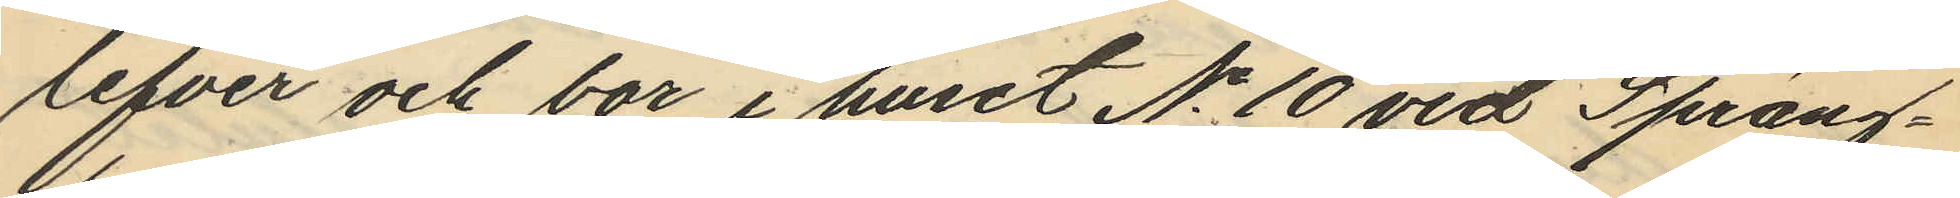lefver och bor i huset No 10 vid Spräng¬
